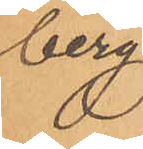berg
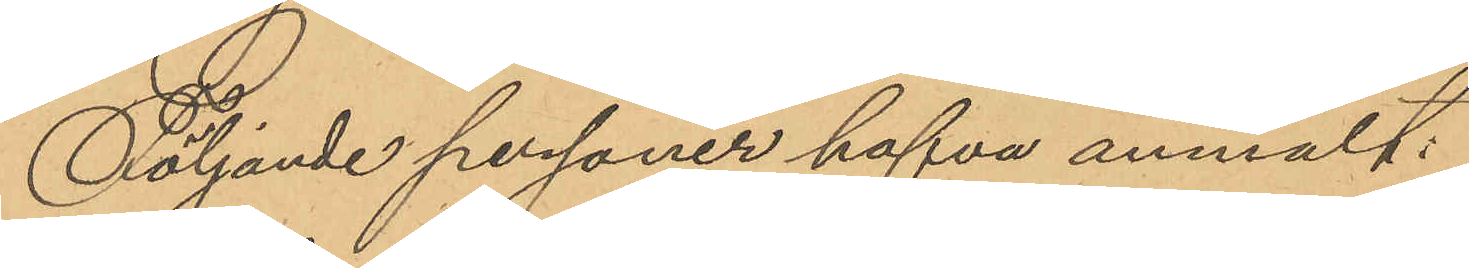Följande personer hafva anmält:
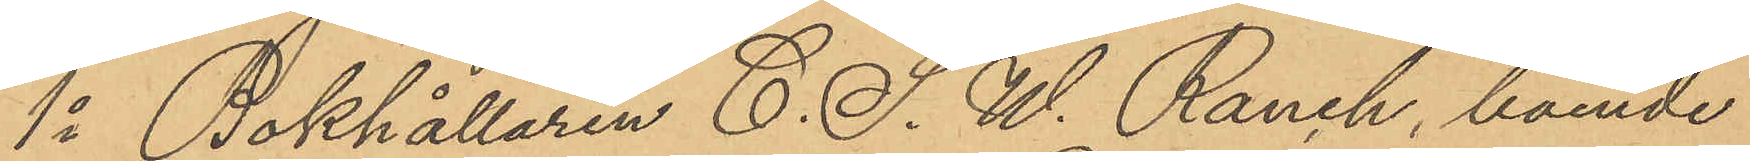1o Bokhållaren C. S. W. Ranch, boende
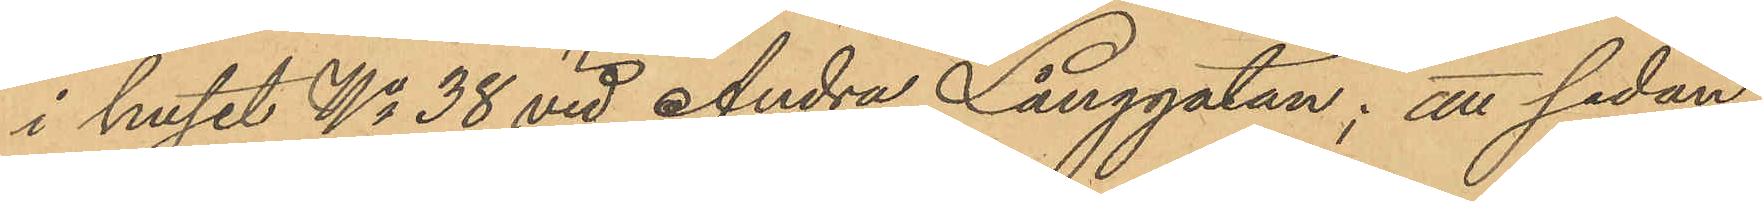i huset No 38 vid Andra Långgatan; att sedan
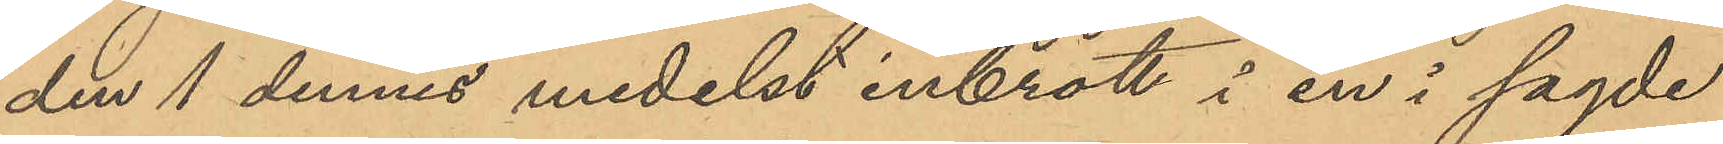den 1 dennes medelst inbrott i en i sagde
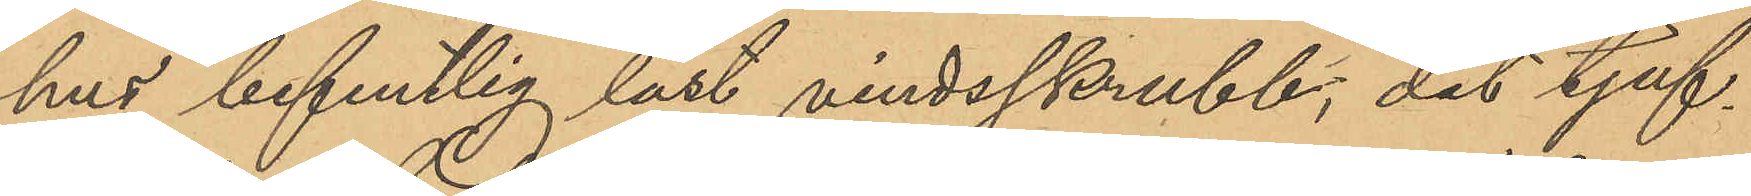hus befintlig låst vindsskrubb, dit tjuf¬
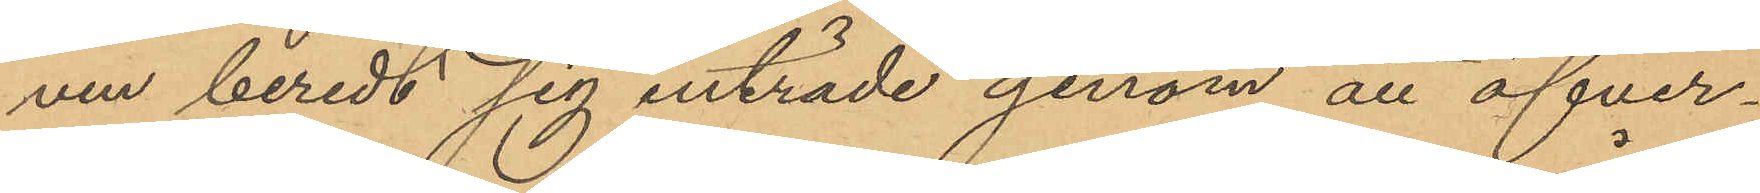ven beredt sig inträde genom att öfver¬
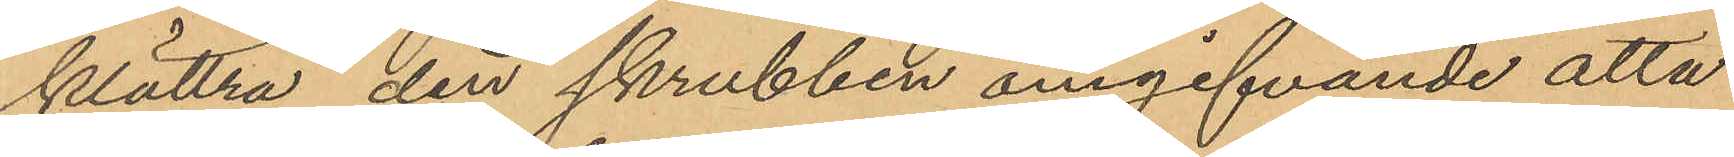klättra den skrubben omgifvande åtta
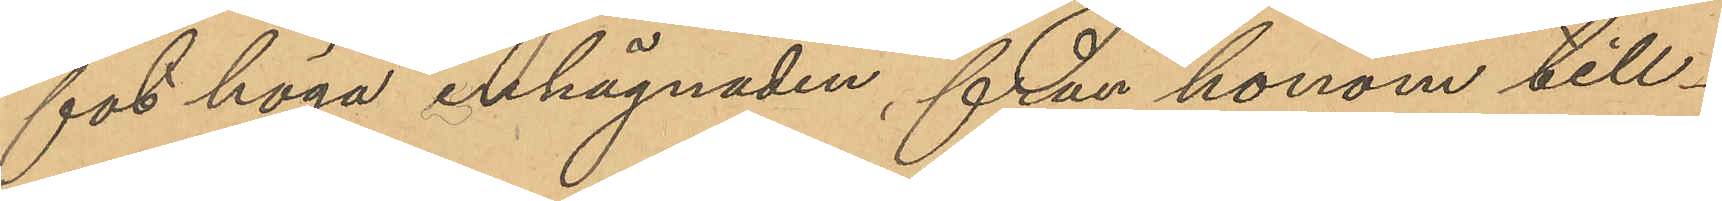fot höga inhägnaden, från honom till¬
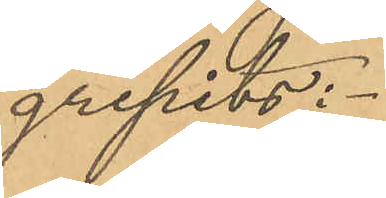gripits:
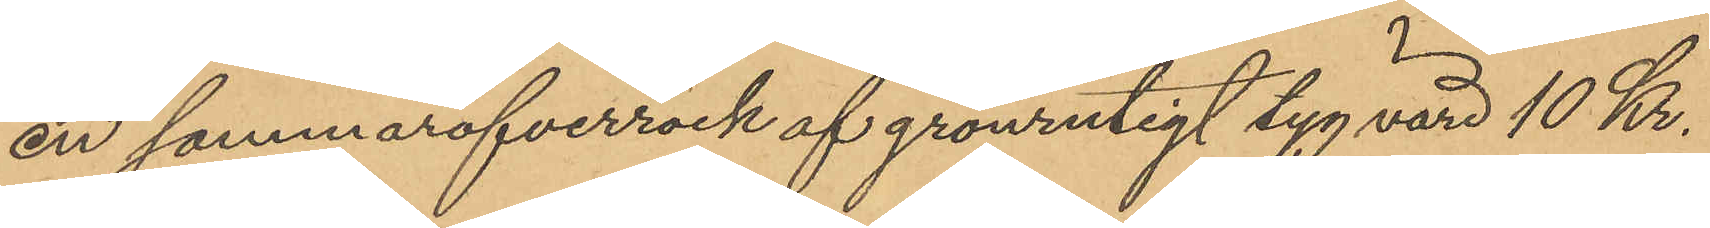en sommaröfverrock af grönrutigt tyg värd 10 Kr.
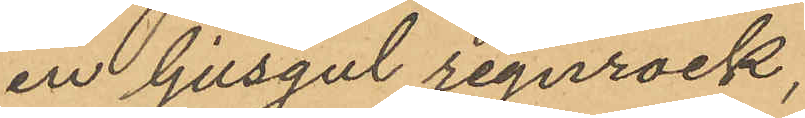en ljusgul regnrock,
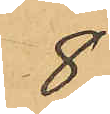8
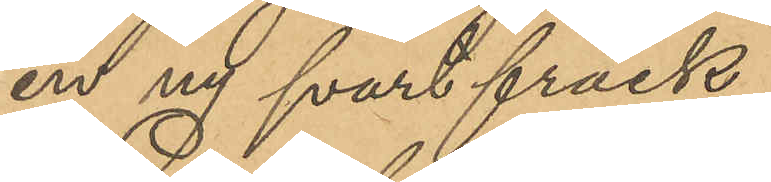en ny svart fräck
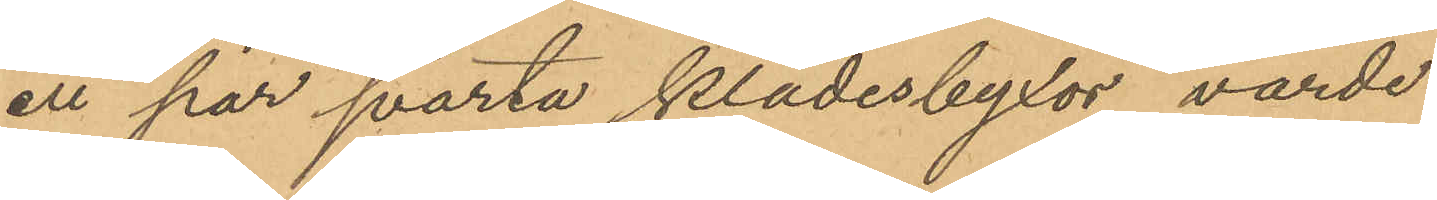ett par svarta klädesbyxor, värde
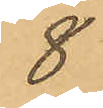8
